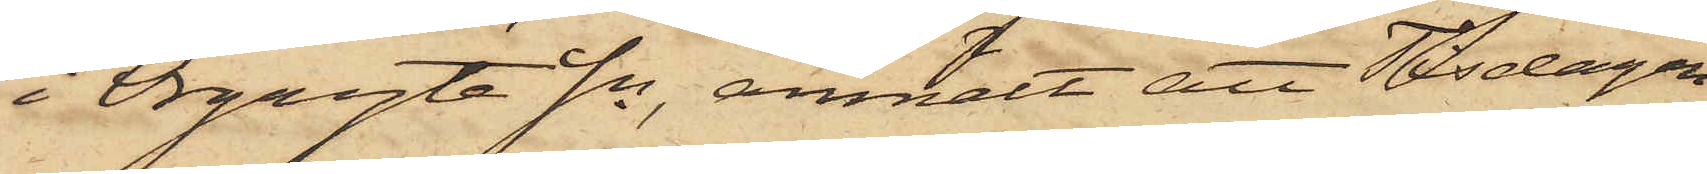i Örgryte Sn, anmält att Tisdagen
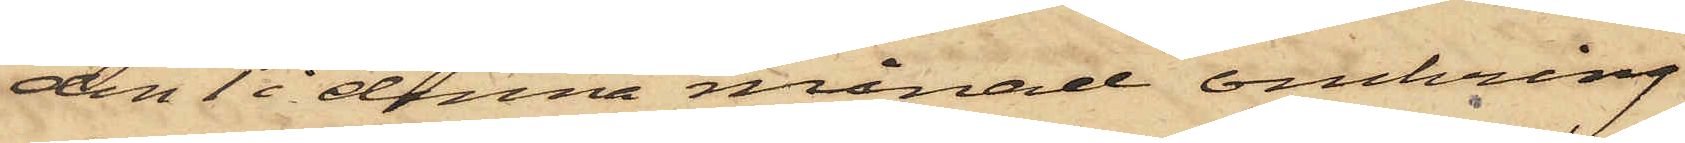den 1 i denna månad omkring
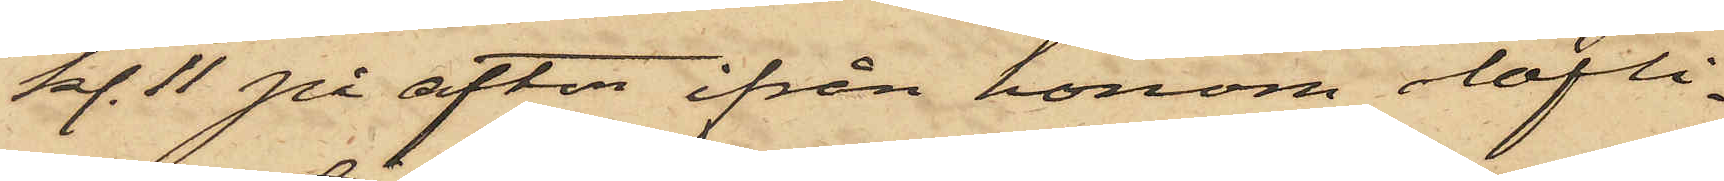kl. 11 på afton ifrån honom olofli¬
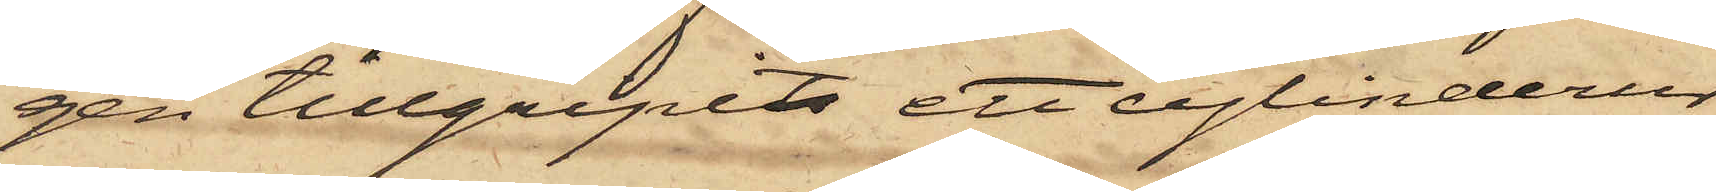gen tillgripits ett cylinderur
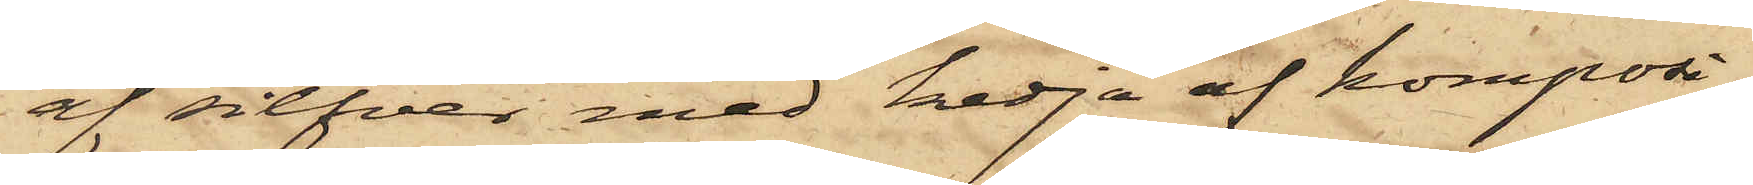af silfver med kedja af komposi¬
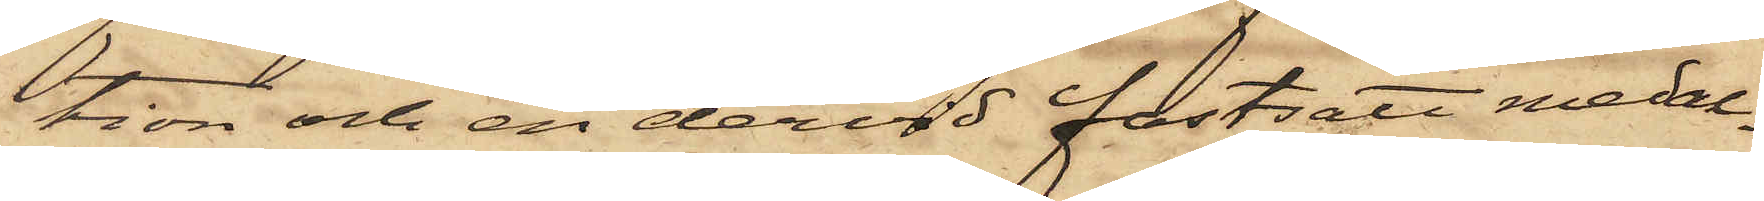tion och en dervid fastsatt medal¬
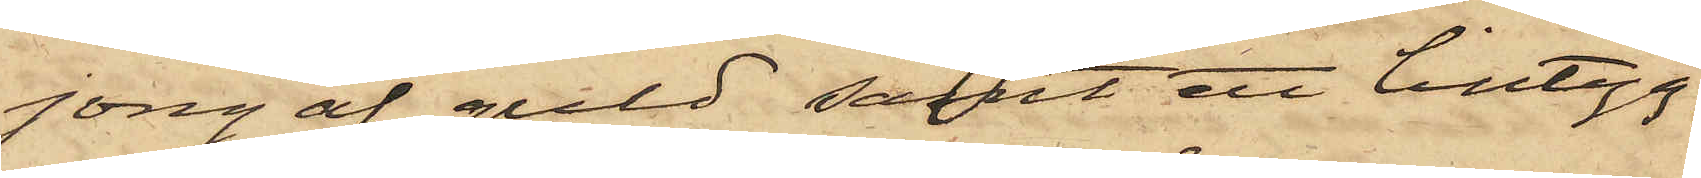jong af guld samt ett lintyg,
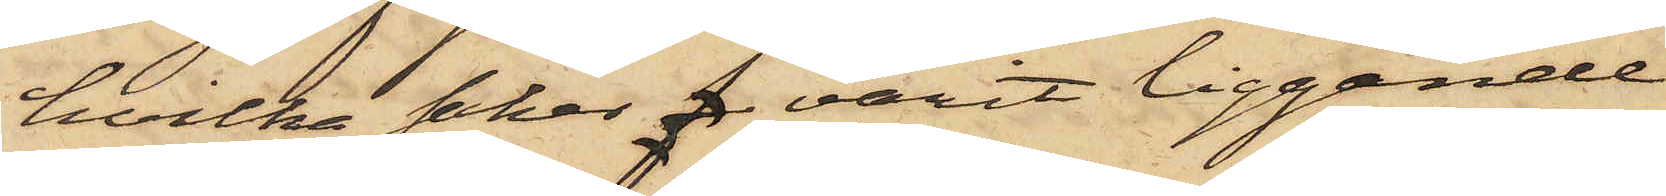hvilka saker f varit liggande
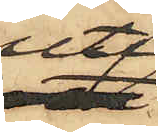uti
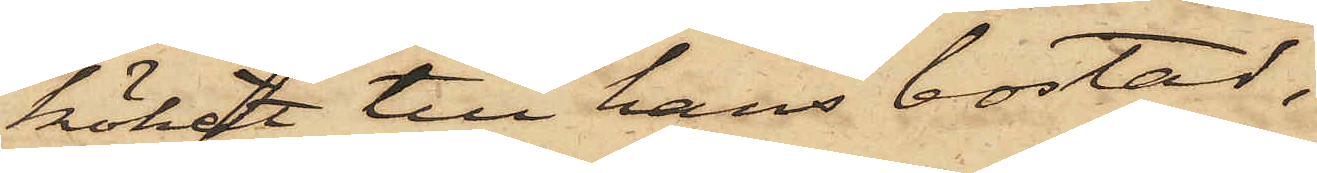köket till hans bostad,
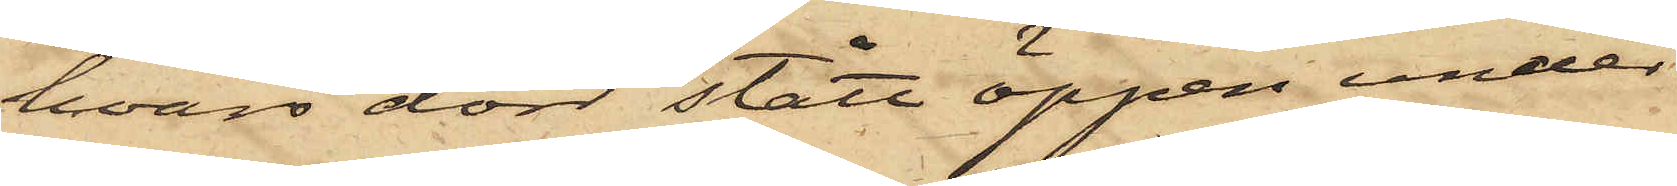hvars dörr stått öppen under
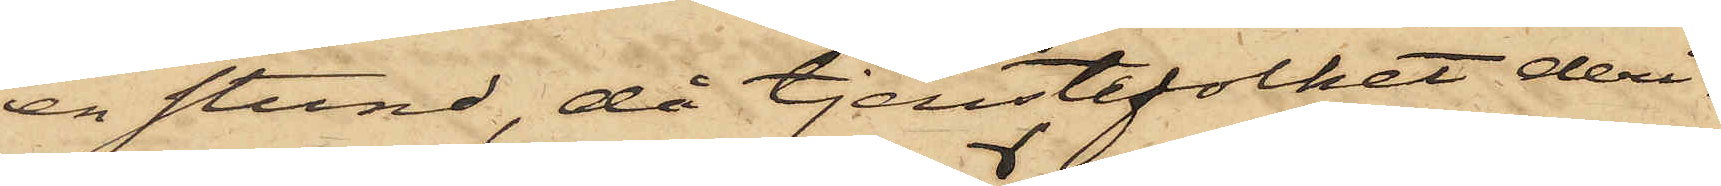en stund, då tjenstefolket deri¬
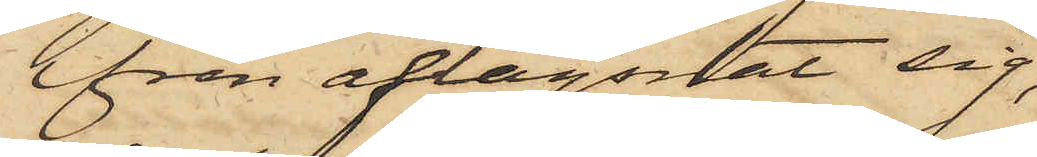från aflägsnat sig,
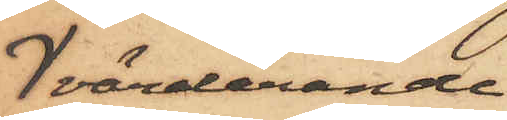värderande
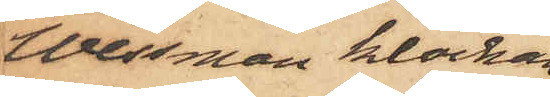Wessman klockan
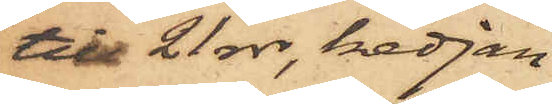till 21 rdr, kedjan
